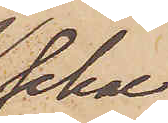schal
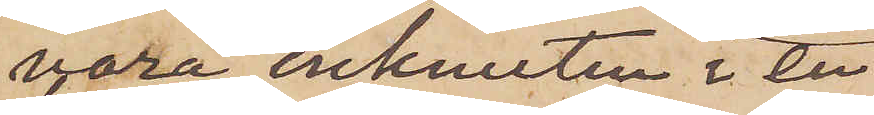vara inknuten i en
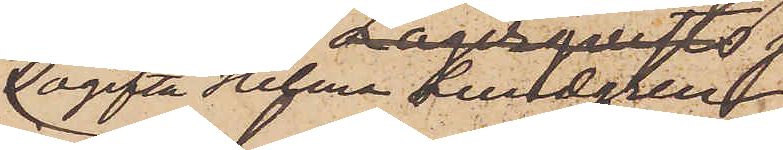ogifta Hilma Lundgren
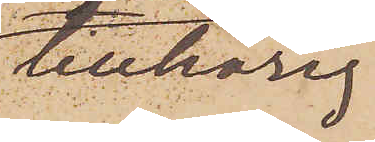tillhörig
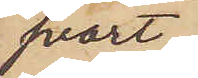svart
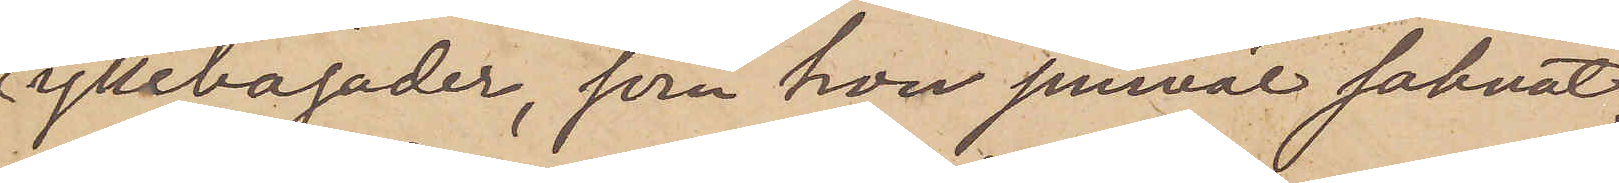yllebajader, som hon jemväl saknat.
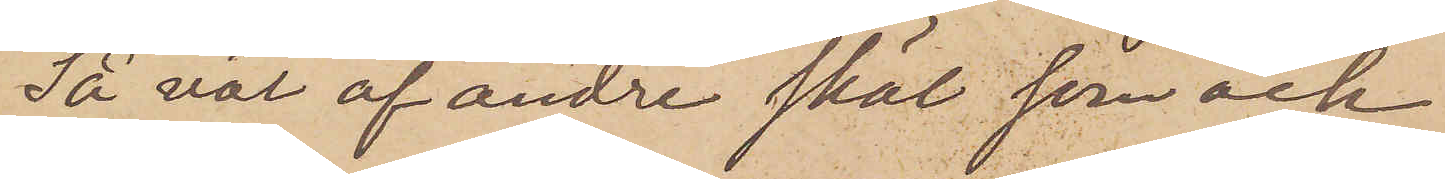Så väl af andre skäl som ock
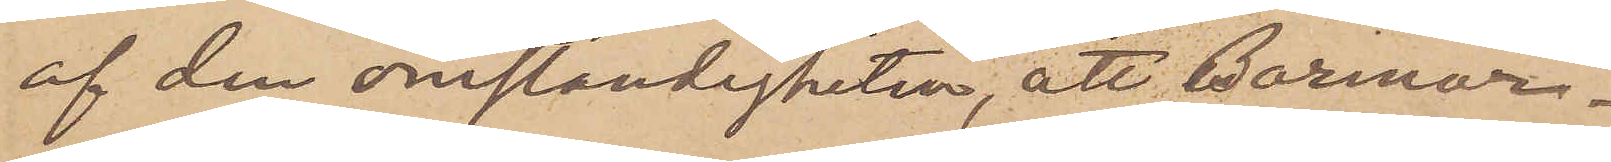af den omständigheten, att Barmor¬
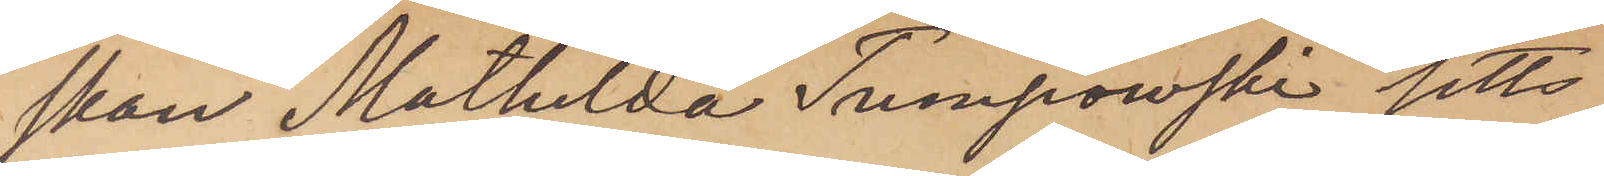skan Mathilda Tumpowski setts
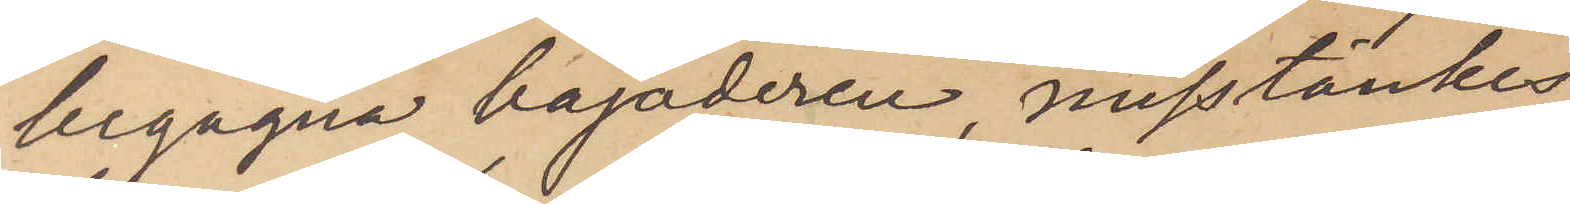begagna bajaderen, misstänkes
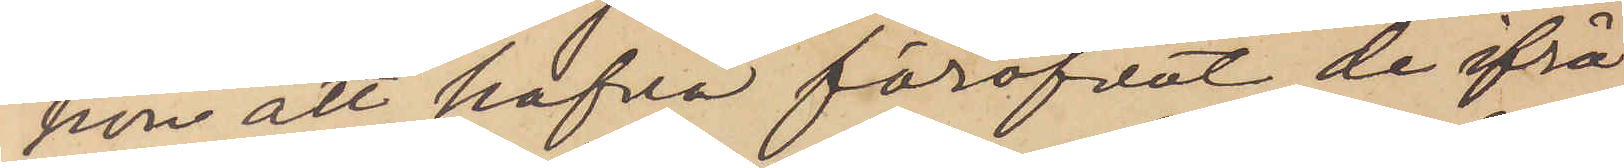hon att hafva föröfvat de ifrå¬
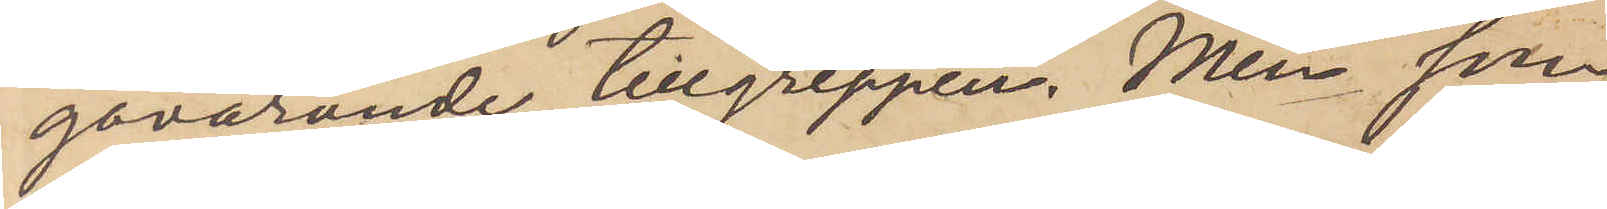gavarande tillgreppen. Men som
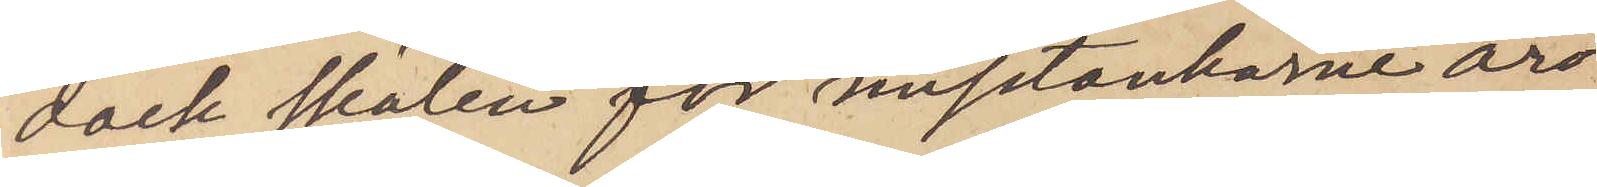dock skälen för misstankarne äro
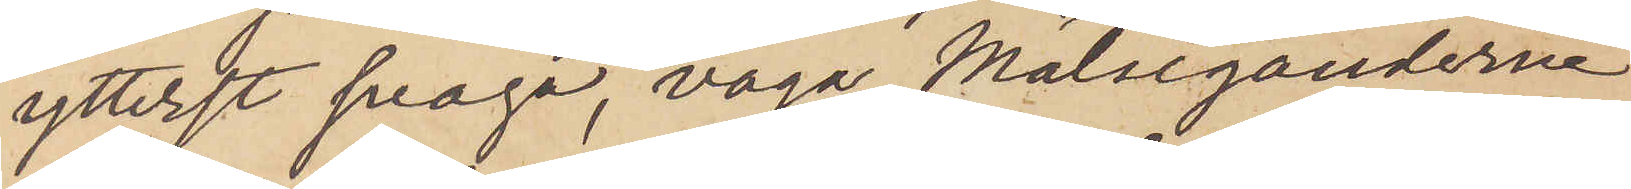ytterst svaga, våga Målseganderna
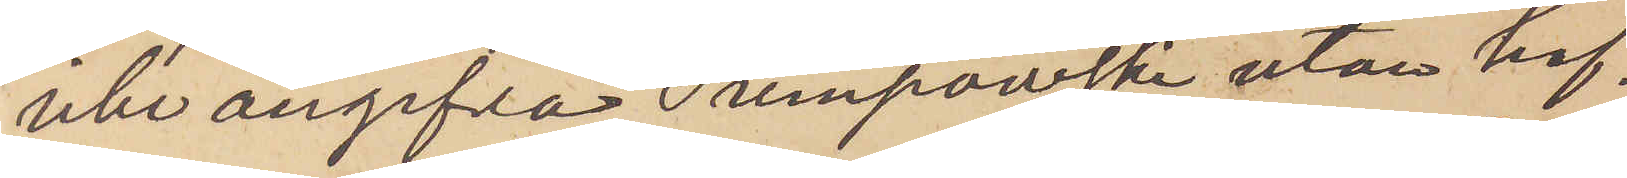icke angifva Tumpowski utan haf¬
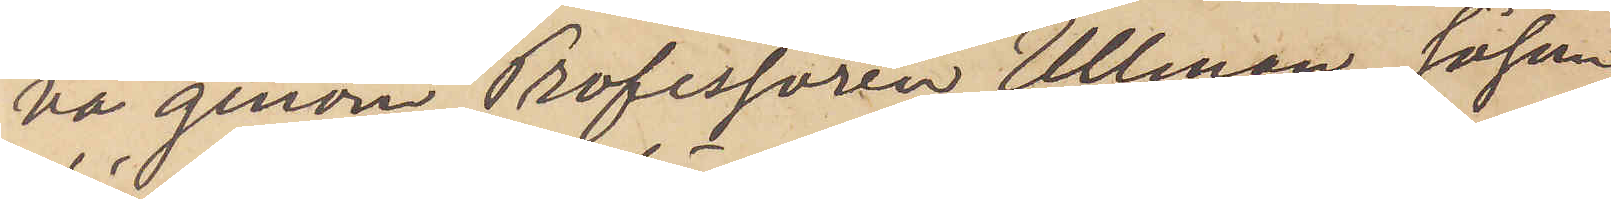va genom Professoren Ullman, såsom
